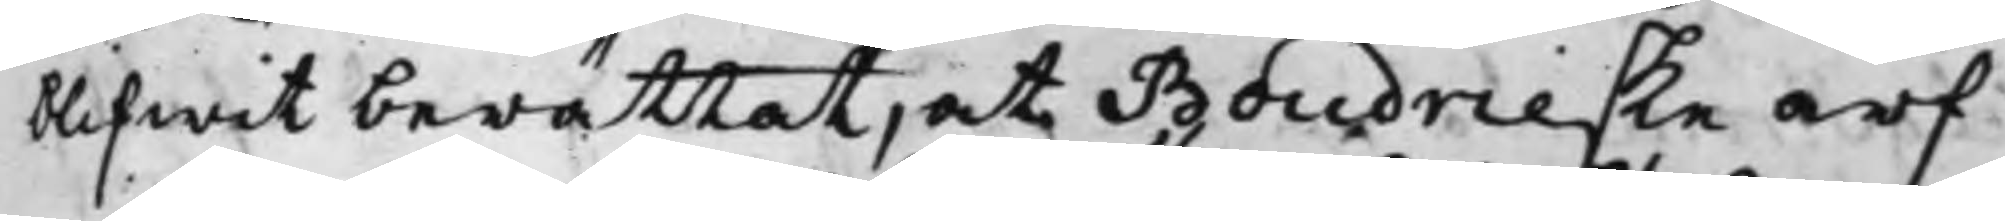blifwit berättat, at Boudrieske arf¬
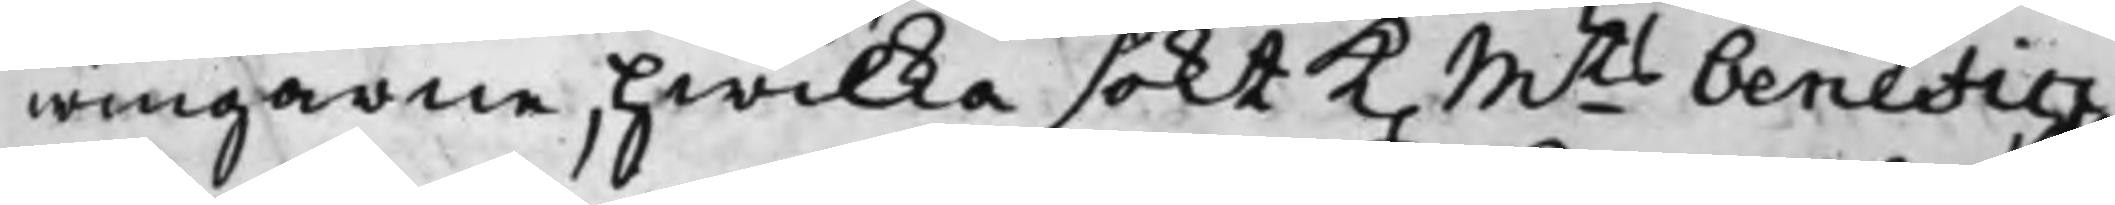wingarne, hwilka sökt K. Mts benefici¬
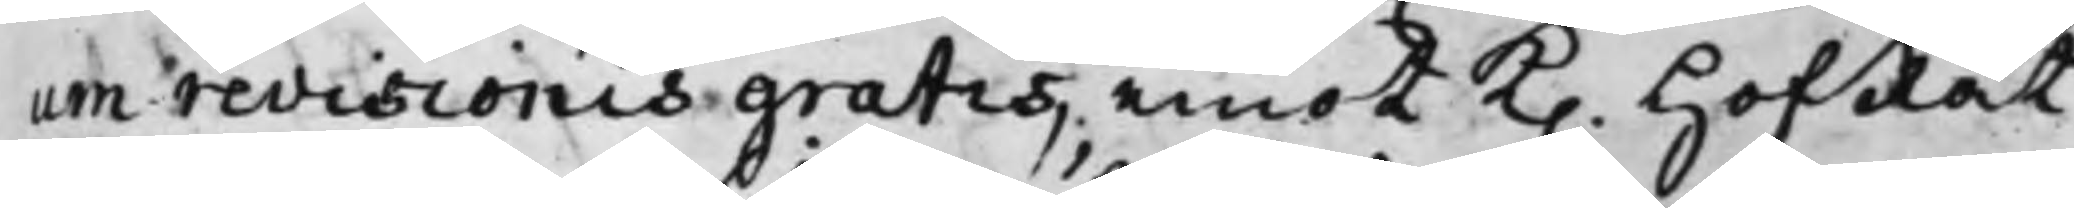um revisionis gratis, emot K. HofRät¬
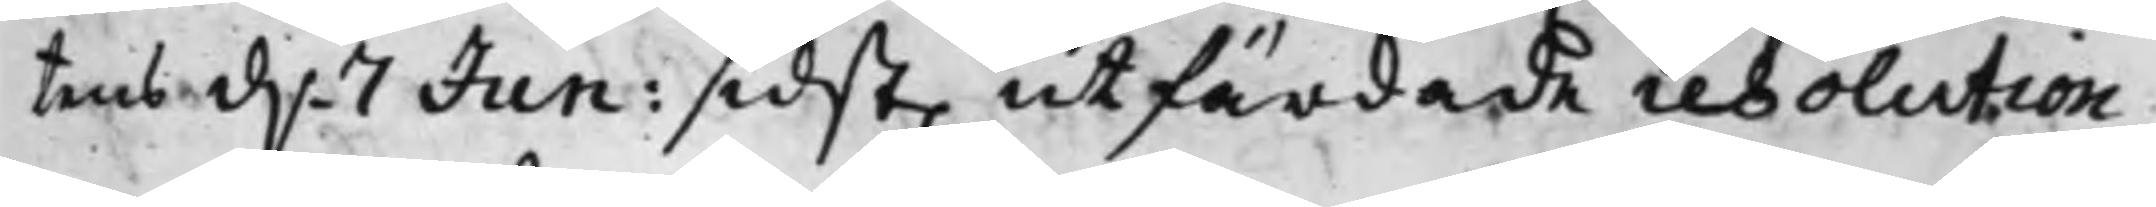tens d. 7 Jun: sidst. utfärdade resolution,
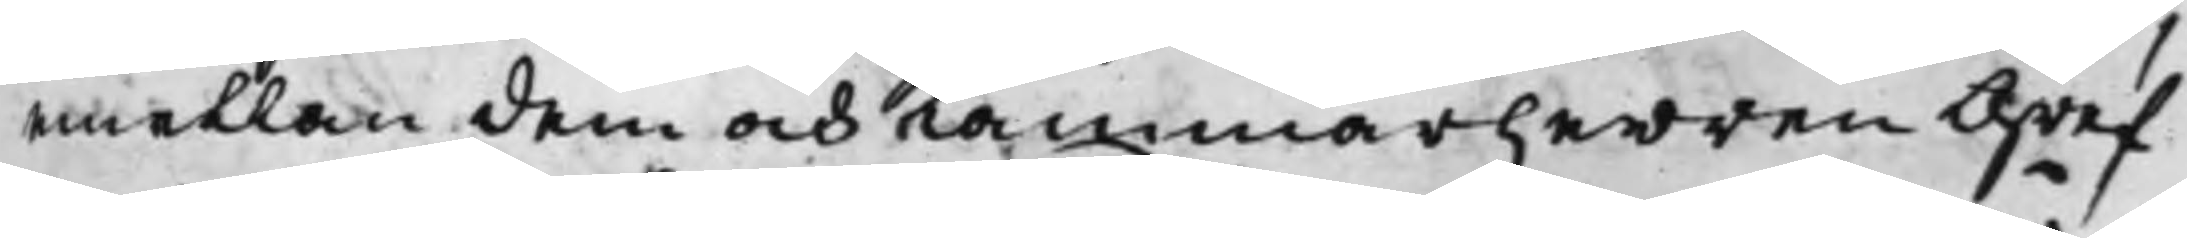emellan dem och Kammarherren Gref¬
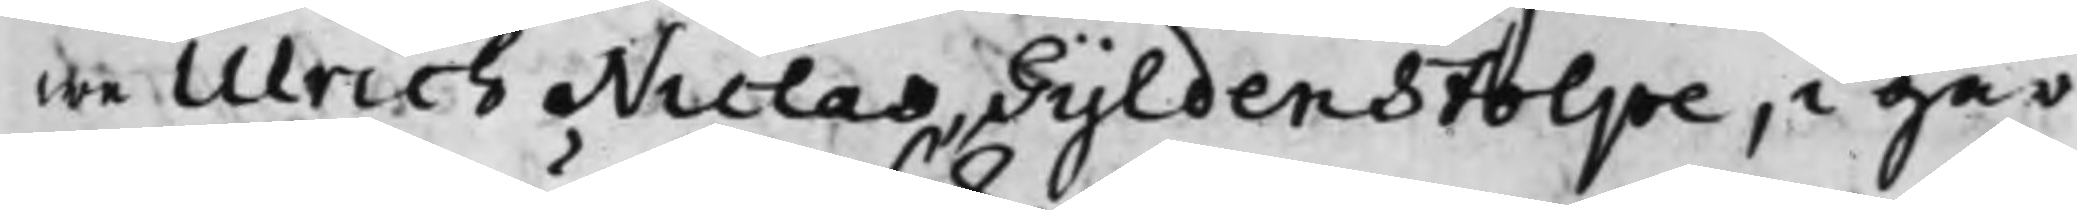we Ulrich Niclas Gyldenstolpe, i går
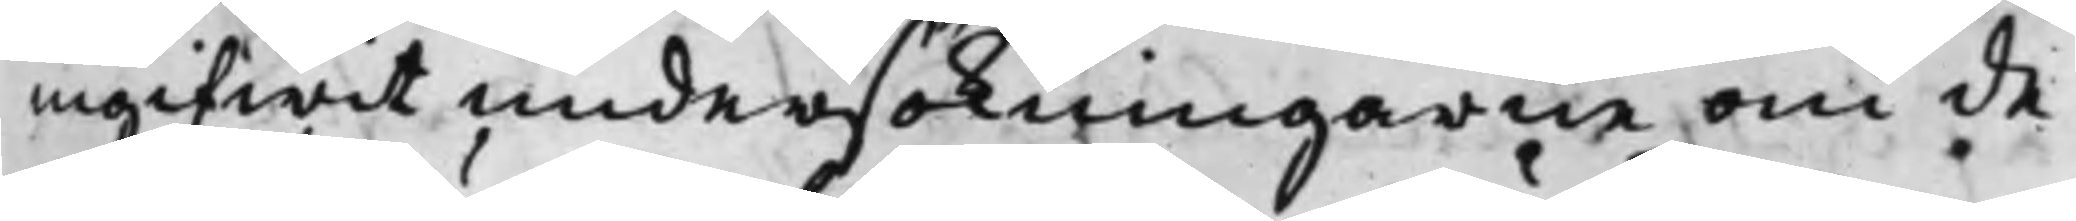ingifwit undersökningarne om de¬
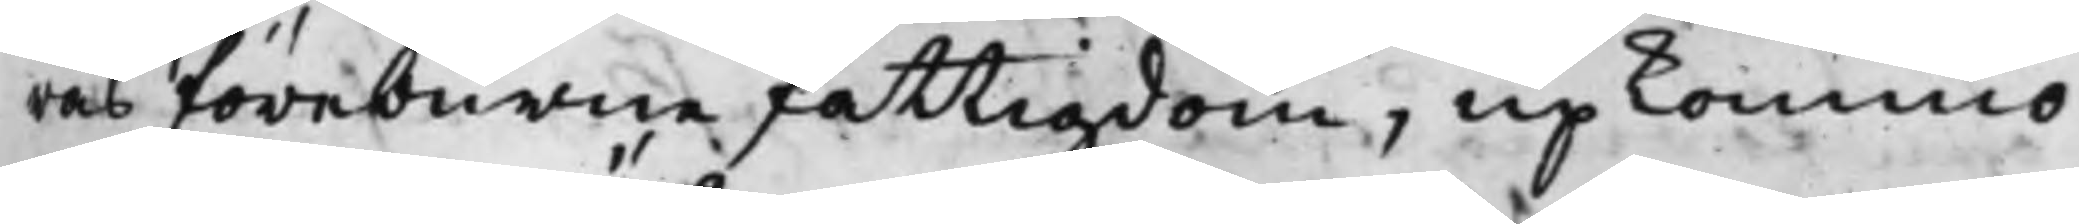ras föreburne fattigdom, upkommo
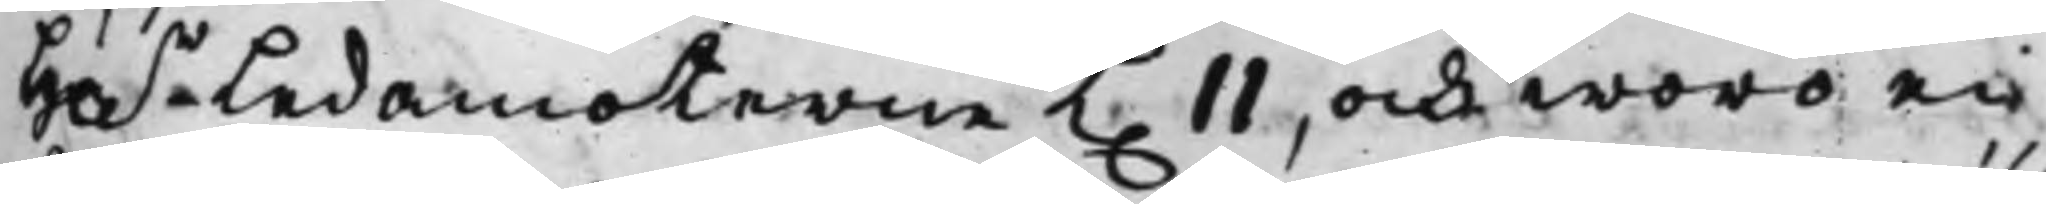Hh.r Ledamöterne K. 11, och woro nu
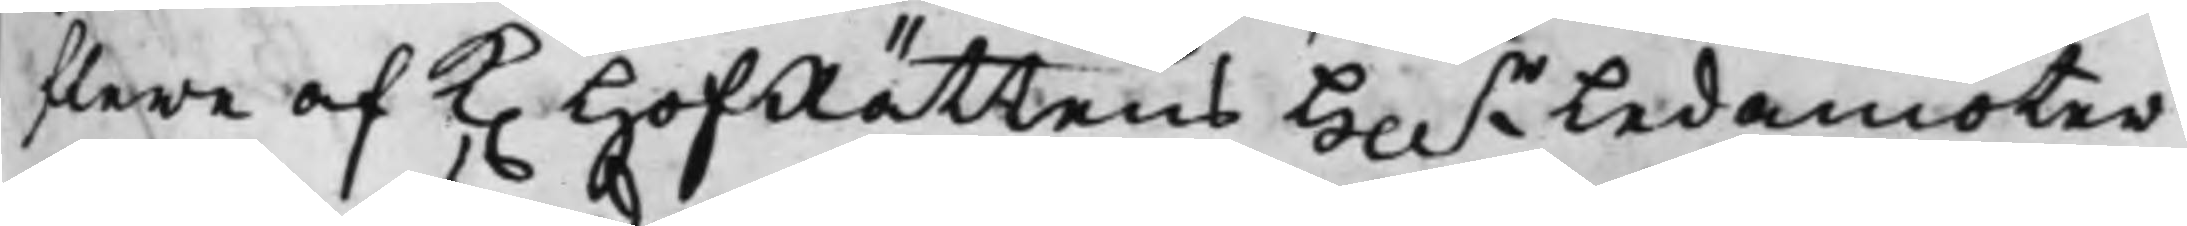flere af K. HofRättens Hh.r Ledamöter
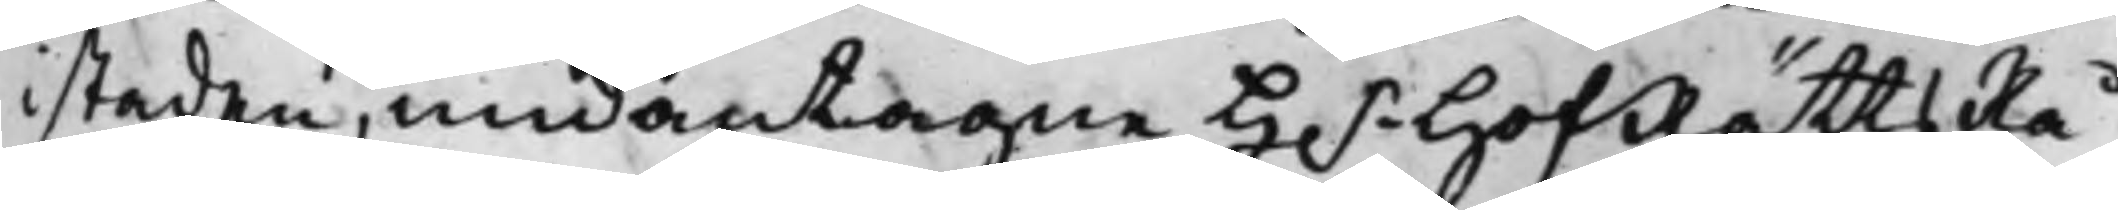i staden, undantagne H.r HofRättsRå¬
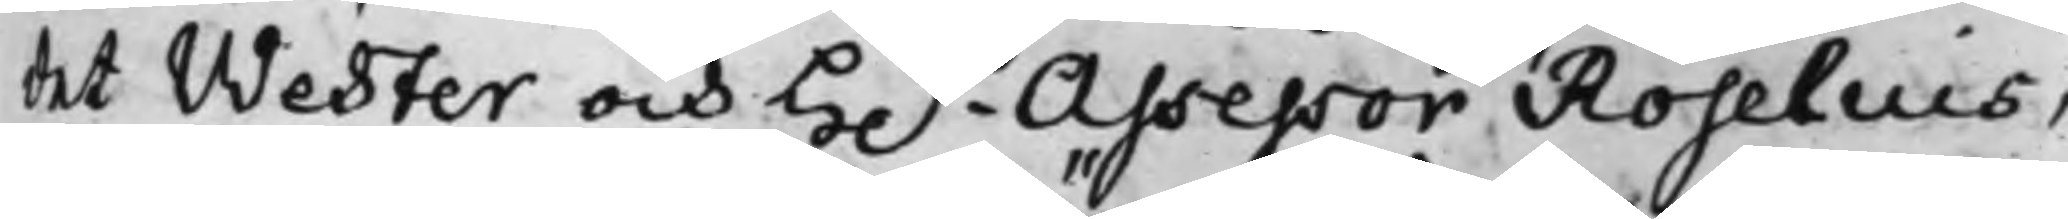det Wester och H.r Assessor Roselius,
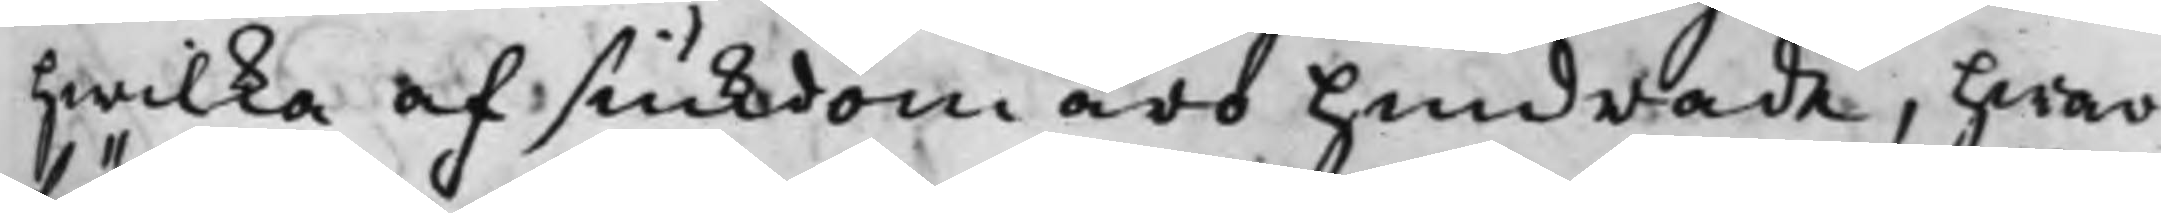hwilka af siukdom äro hindrade, hwar¬
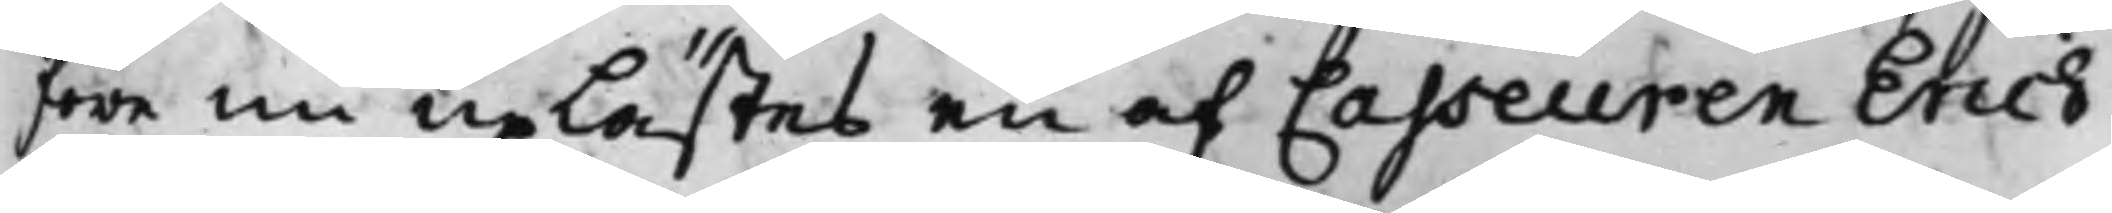före nu uplästes en af Casseuren Erich
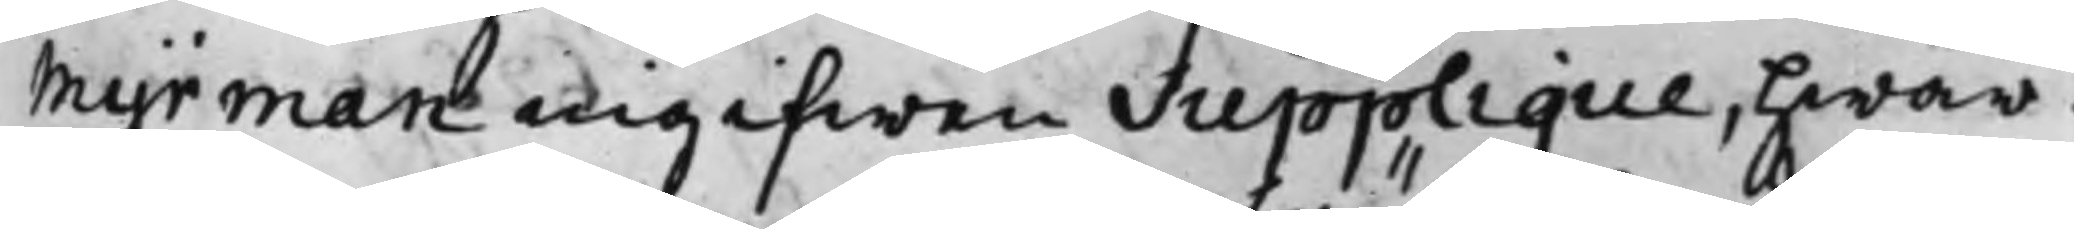Myrman ingifwen Supplique, hwar¬
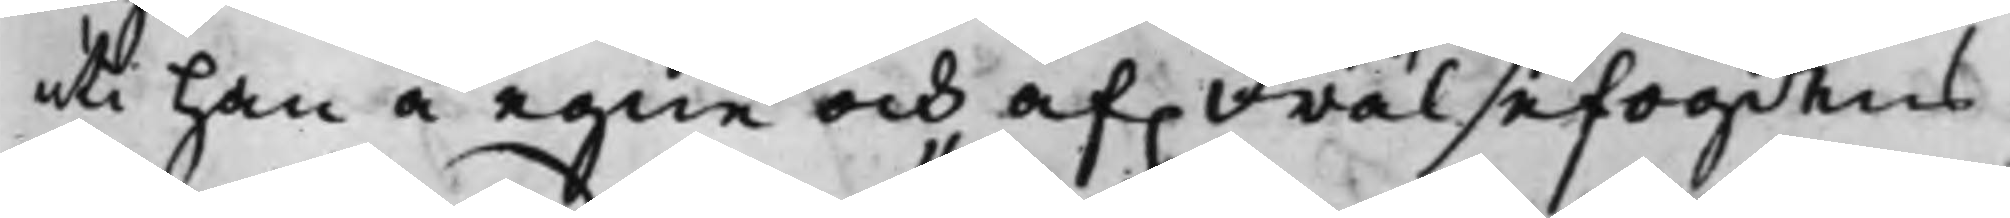uti han å egne och af. Frälsefogdens
